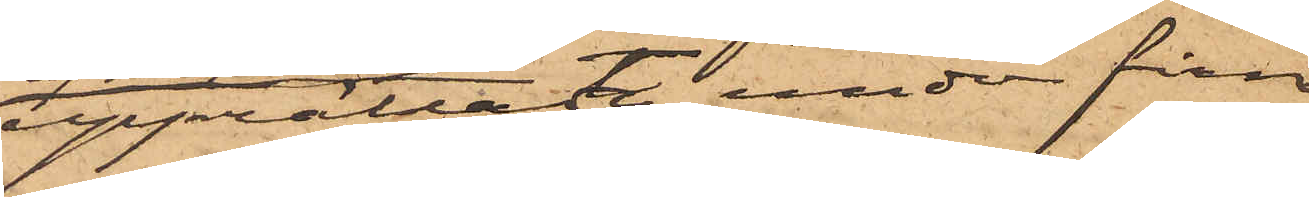upprättat under firman
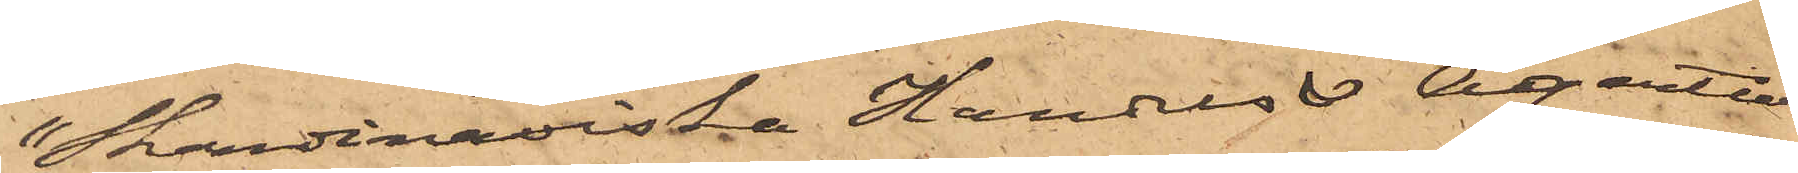"Skandinaviska Handels & Agentur
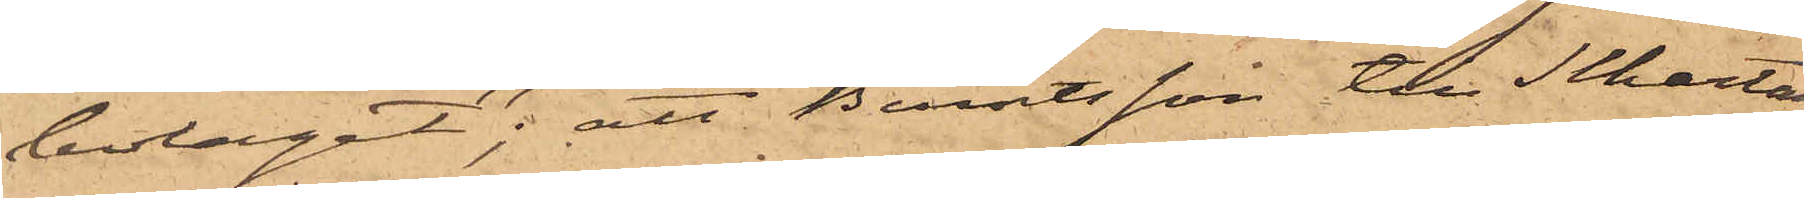bolaget"; att Berntsson till Schartau
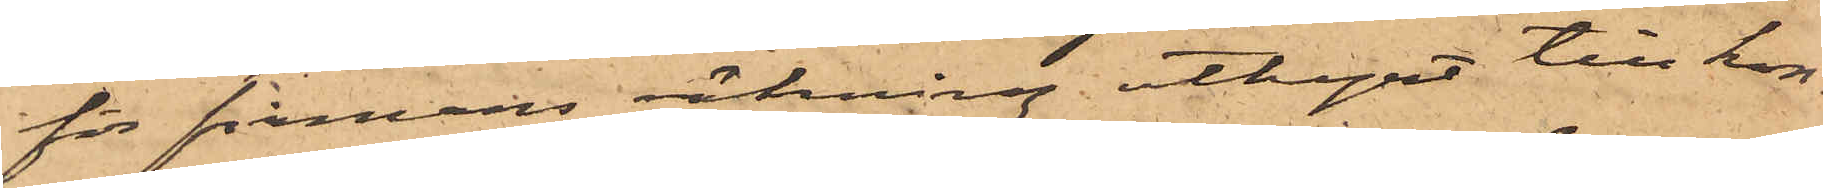för firmans räkning uthyrt till kon¬
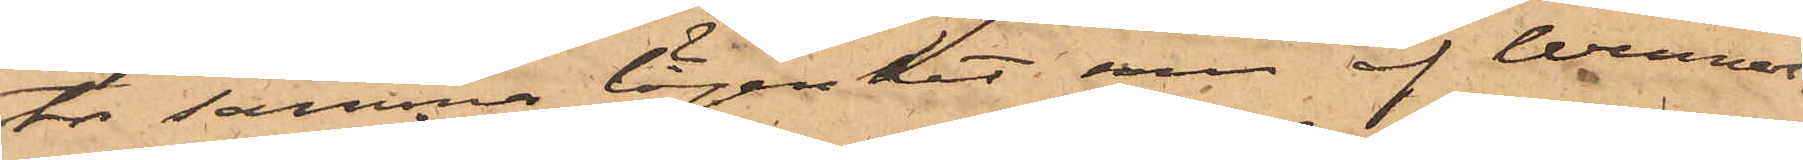tor samma lägenhet som af Wenner¬
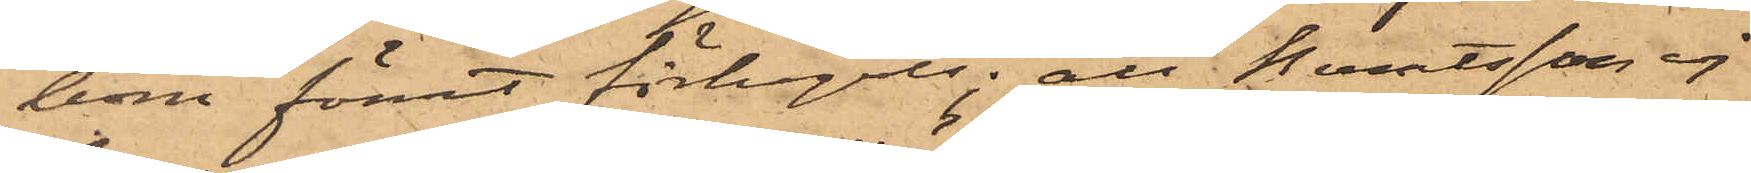bom förut förhyrts; att Berntsson ej
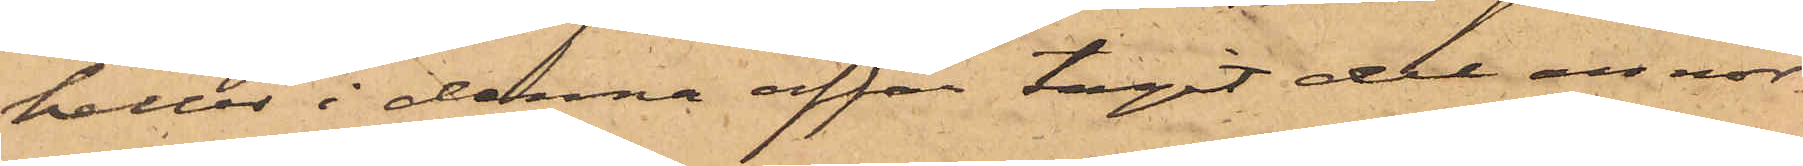heller i denna affär tagit del annor¬
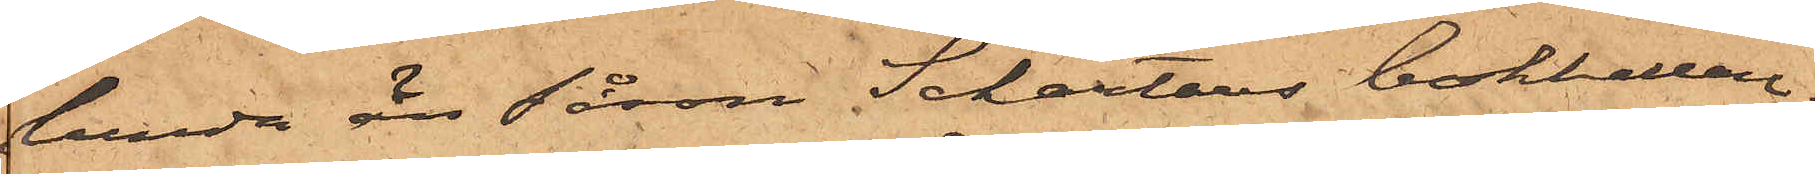lunda än såsom Schartaus bokhållare;
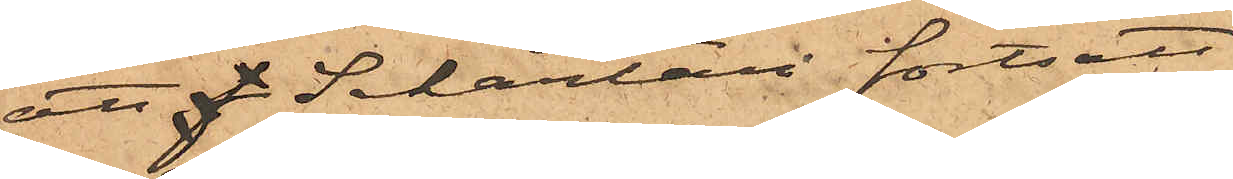att Scharlau fortsatt
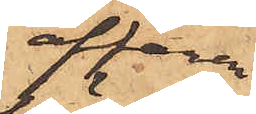affären
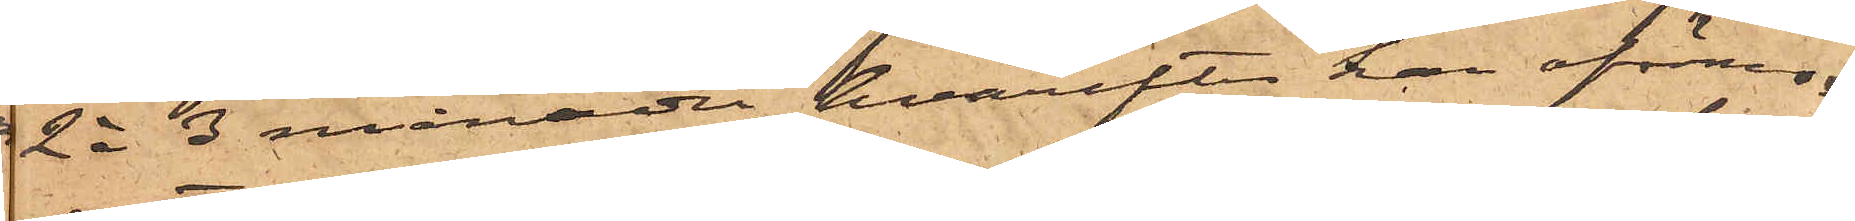2 à 3 månader, hvarefter han oförmo¬
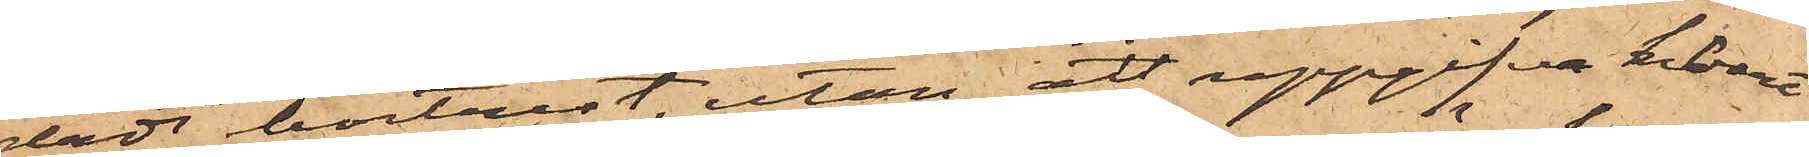dadt bortrest, utan att uppgifva hvart
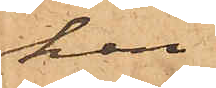han
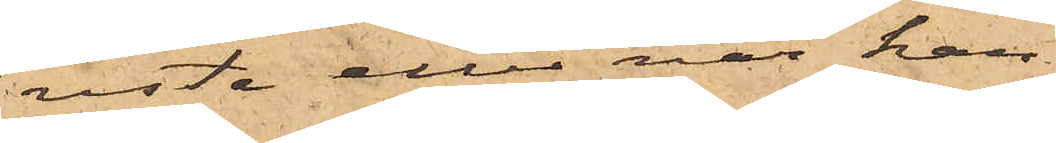reste eller när han
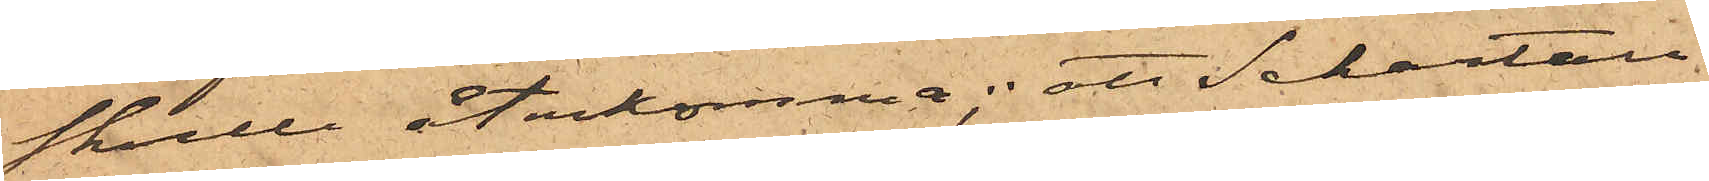skulle återkomma; att Schartau
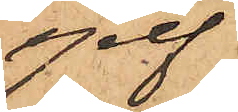sjelf
